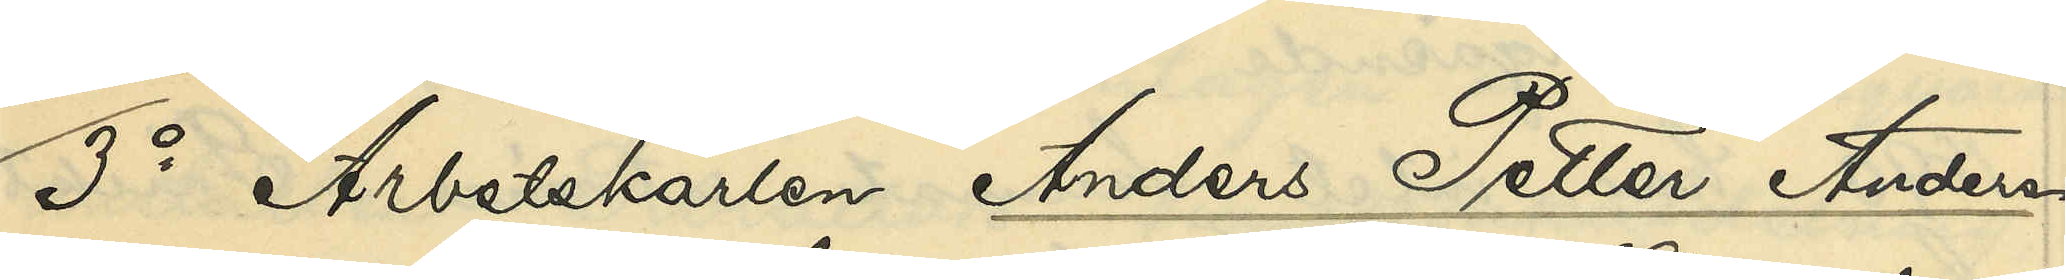3o Arbetskarlen Anders Petter Anders¬
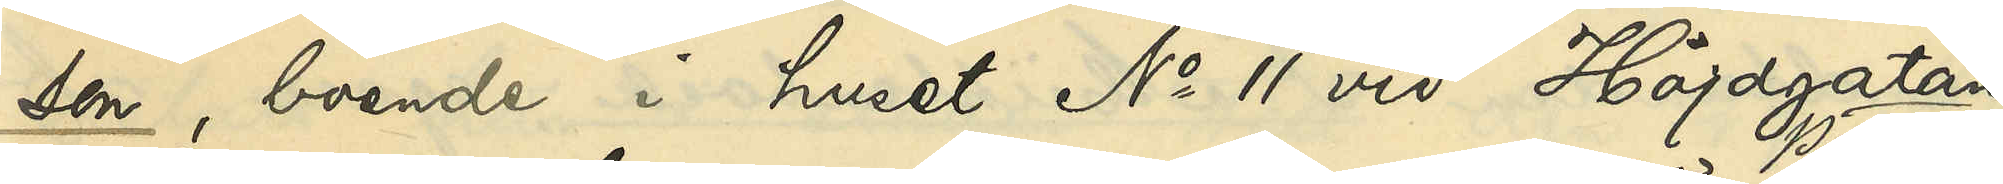son, boende i huset No 11 vid Höjdsgatan
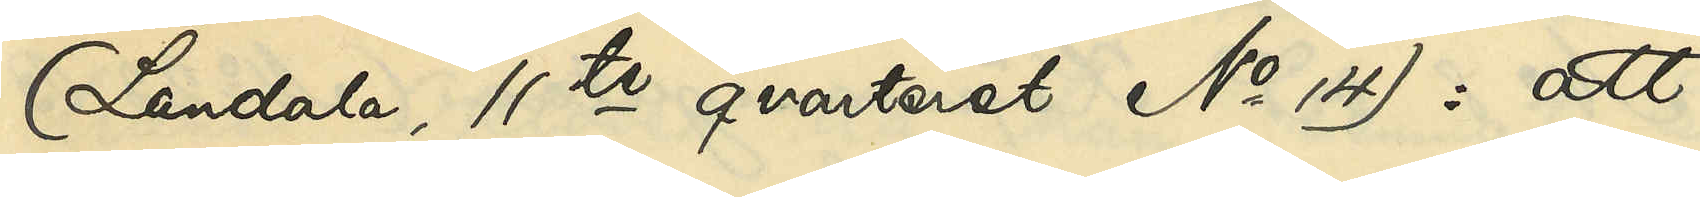(Landala, 11te qvarteret No 14): att
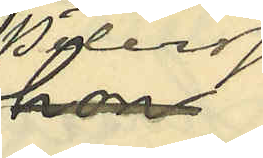Pettersson
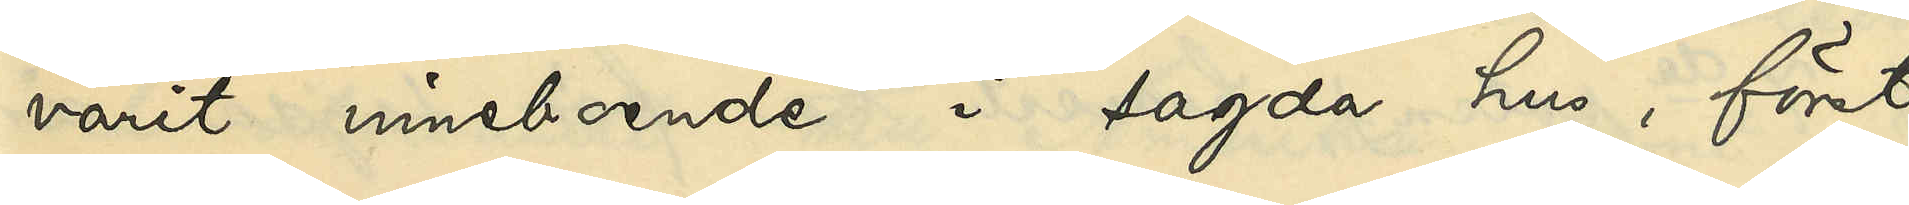varit inneboende i sagda hus, först
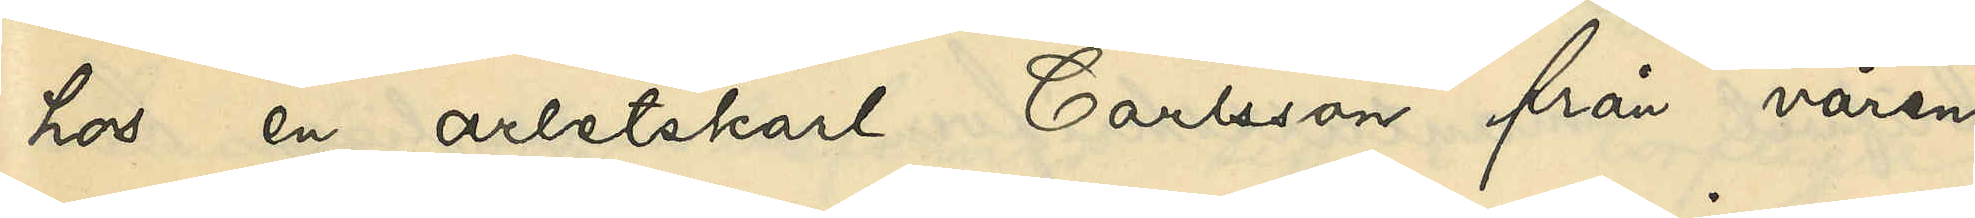hos en arbetskarl Carlsson från våren
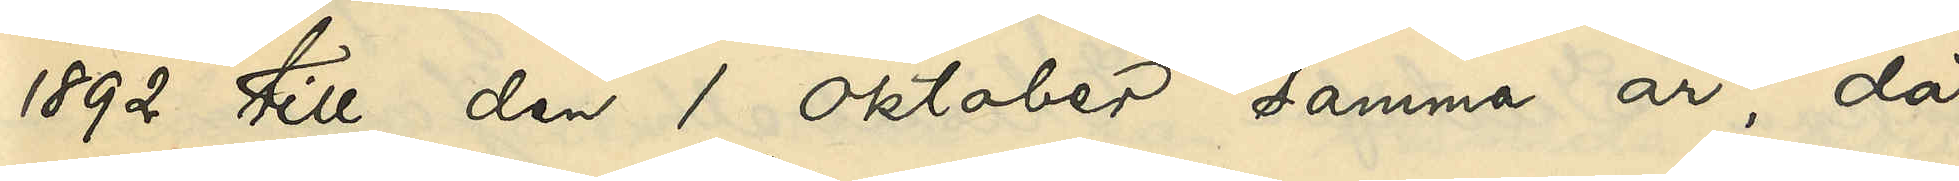1892 till den 1 Oktober samma år, då
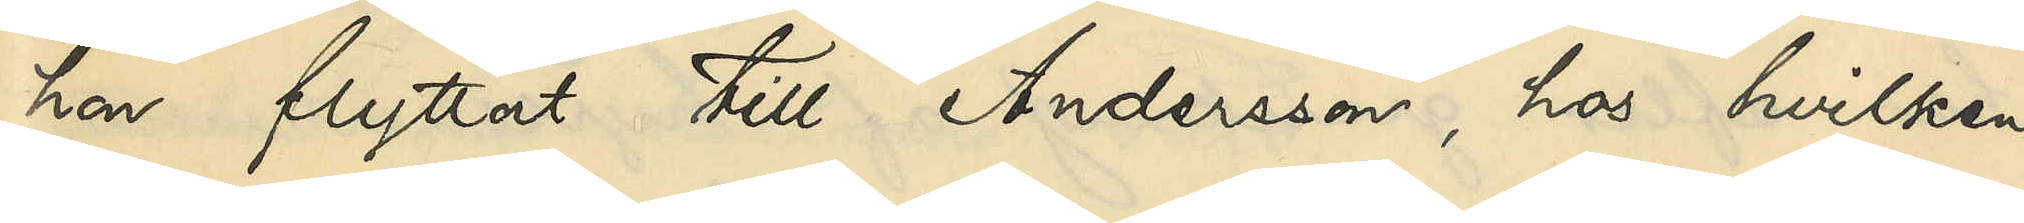hon flyttat till Andersson, hos hvilken
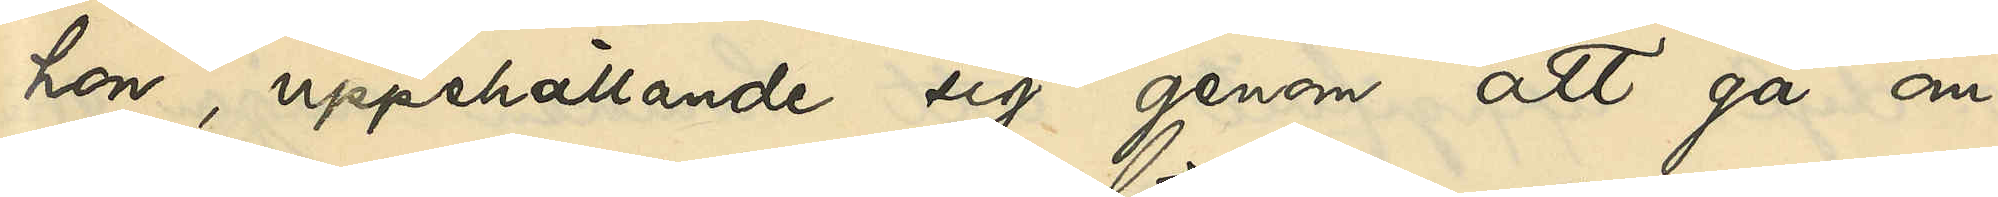hon, uppehållande sig genom att gå om¬
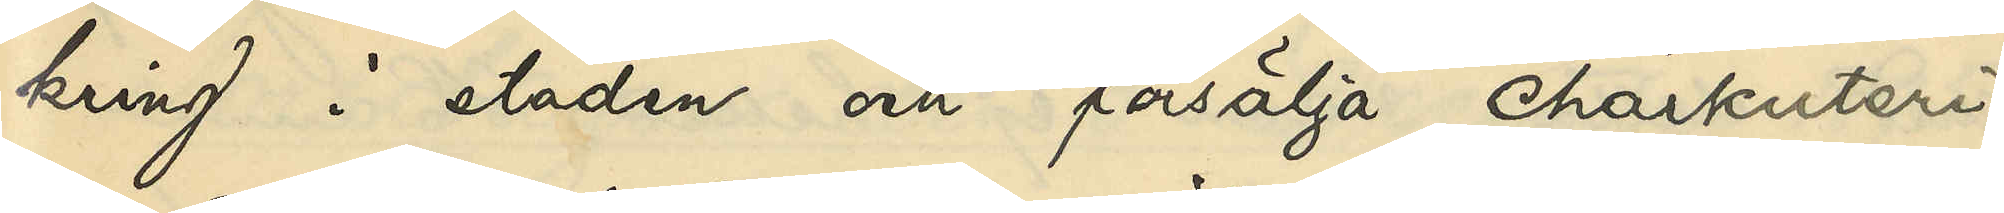kring i staden och försälja charkuteri¬
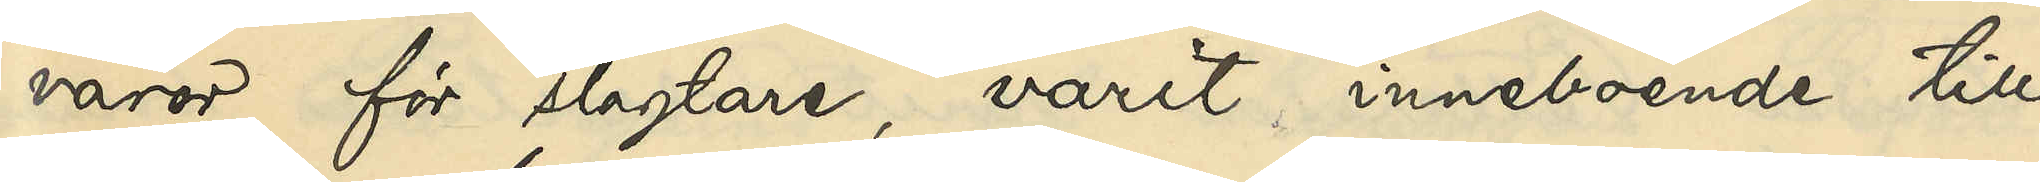varor för slagtare, varit inneboende till
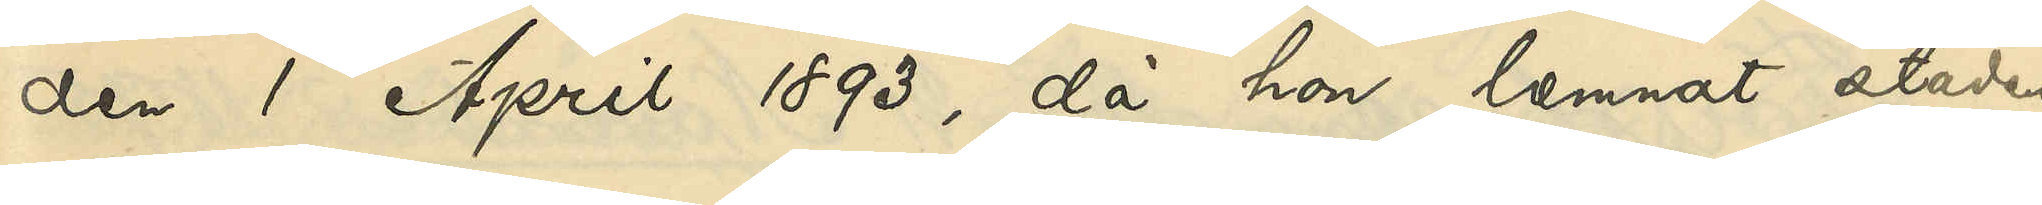den 1 April 1893, då hon lemnat staden
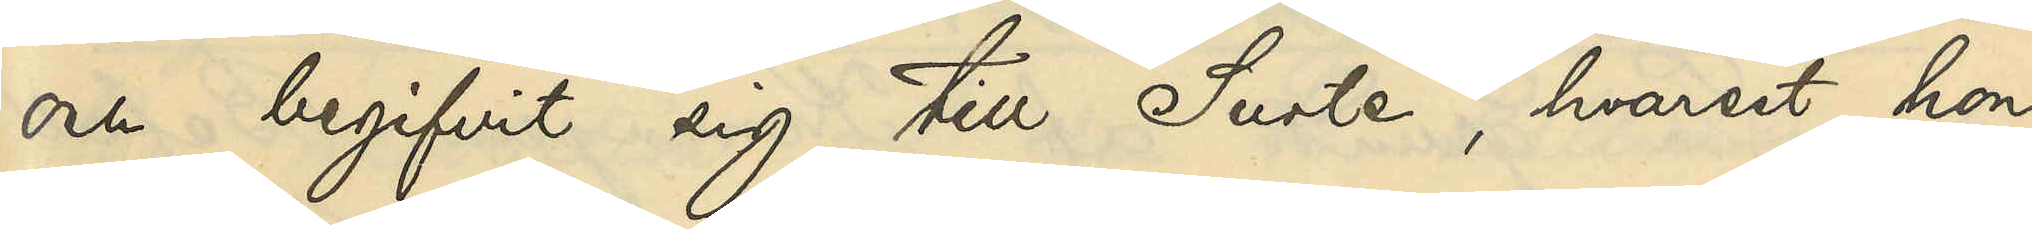och begifvit sig till Surte, hvarest hon
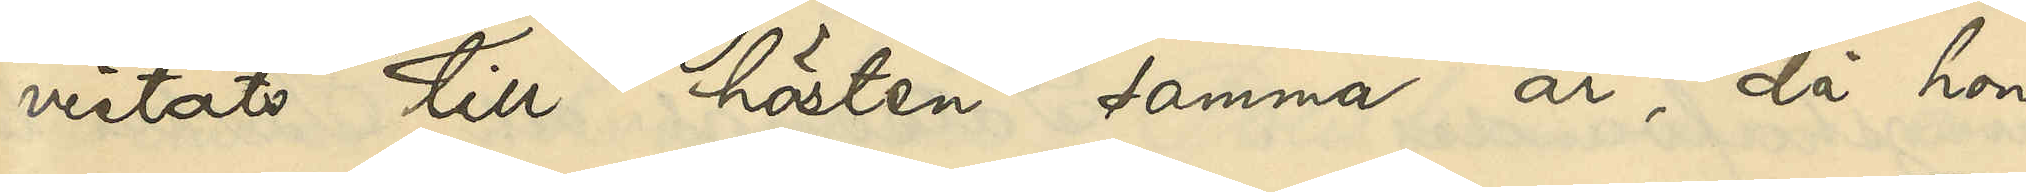vistats till hösten samma år, då hon
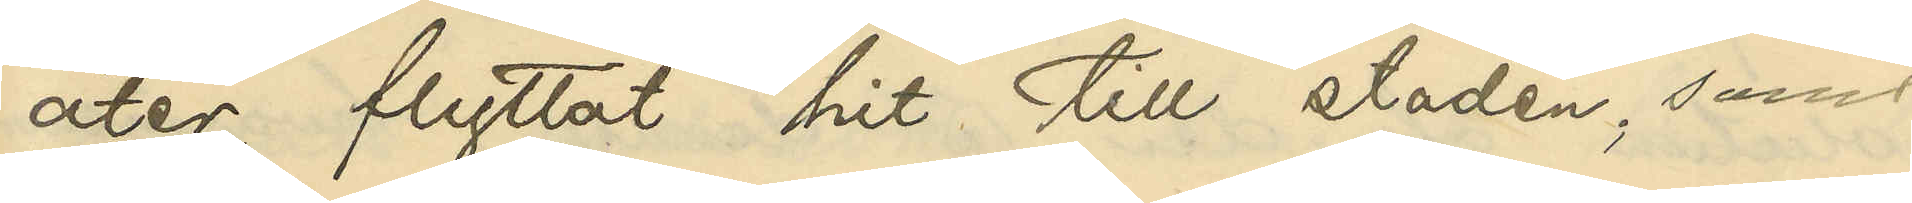åter flyttat hit till staden; samt
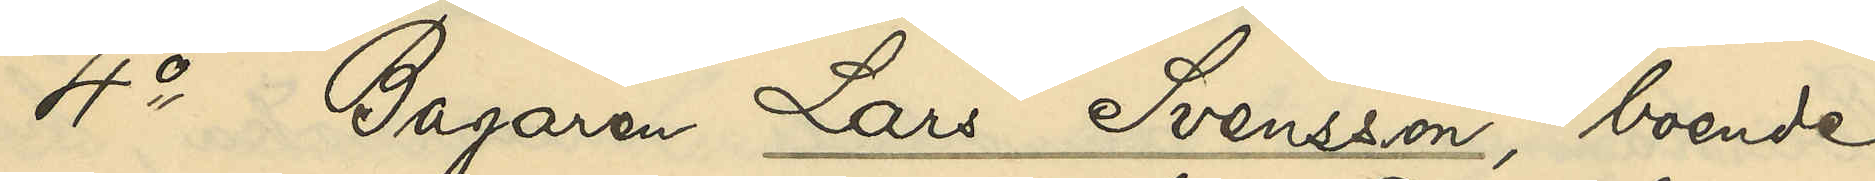4o Bagaren Lars Svensson, boende
